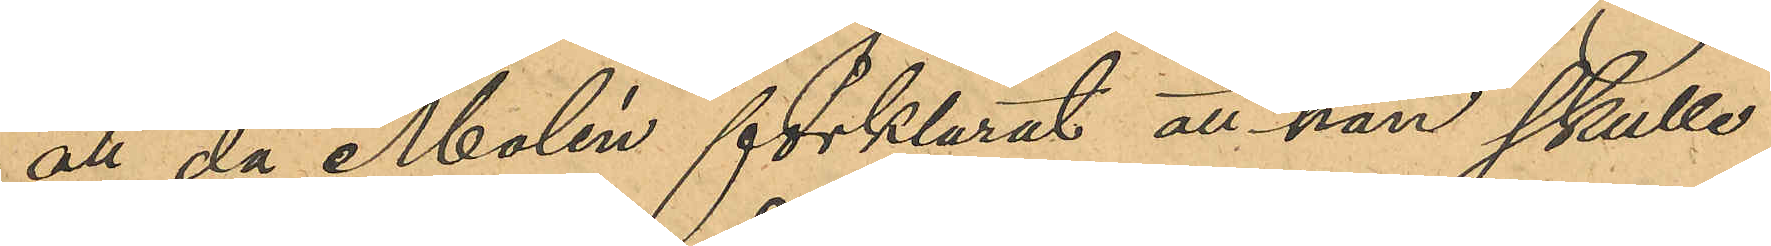att då Molén förklarat att han skulle
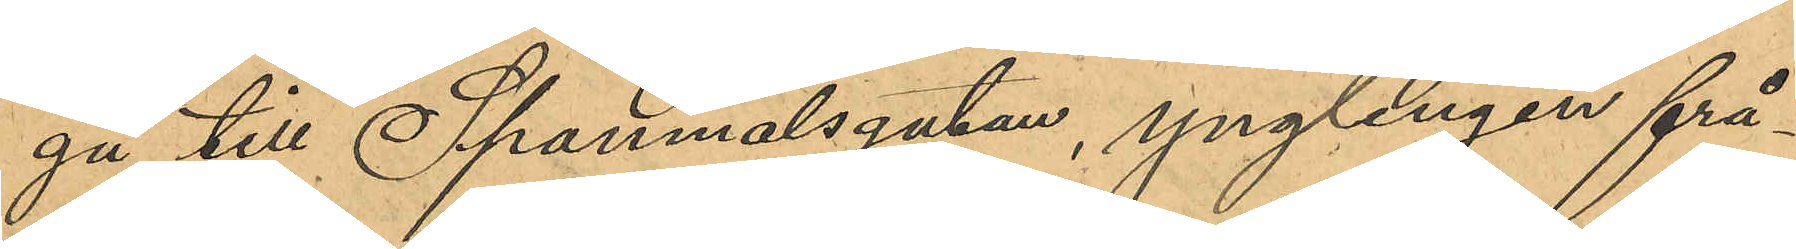gå till Spannmålsgatan, ynglingen frå¬
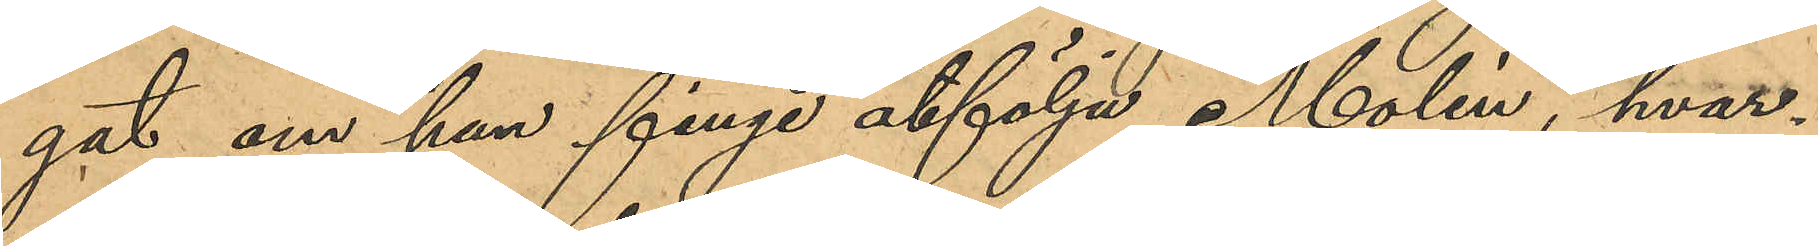gat om han finge åtfölja Molén, hvar¬
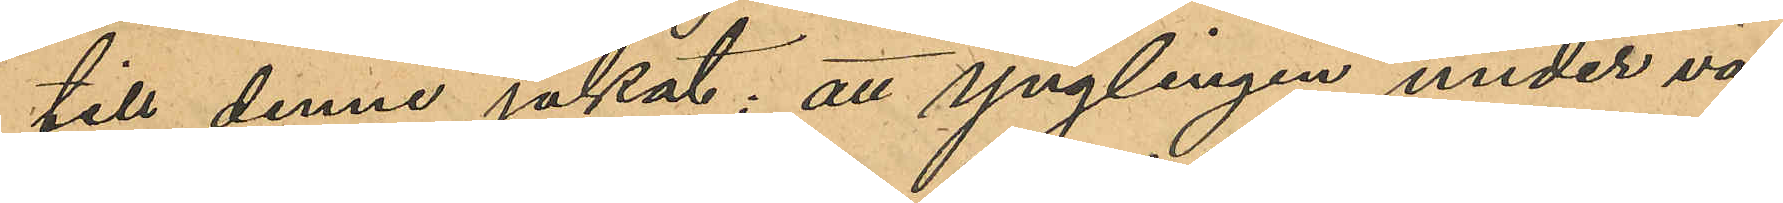till denne jakat; att ynglingen under vä¬
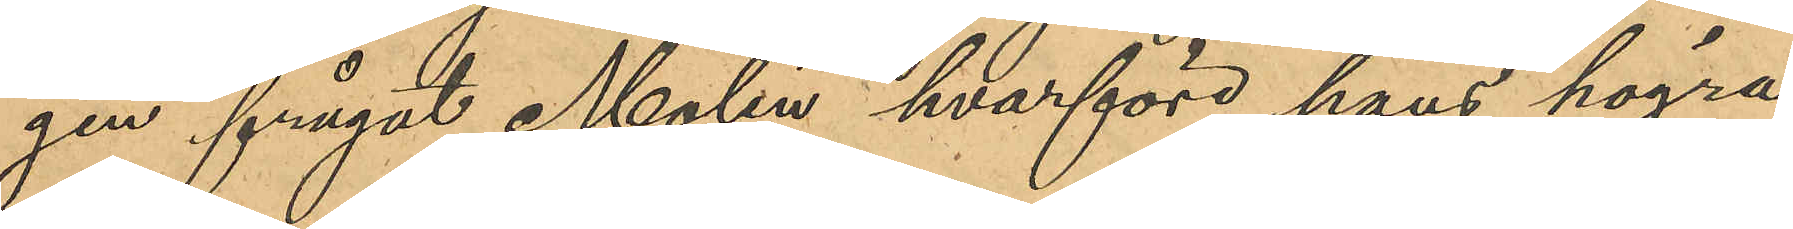gen ifrågat Molén, hvarföre hans högra
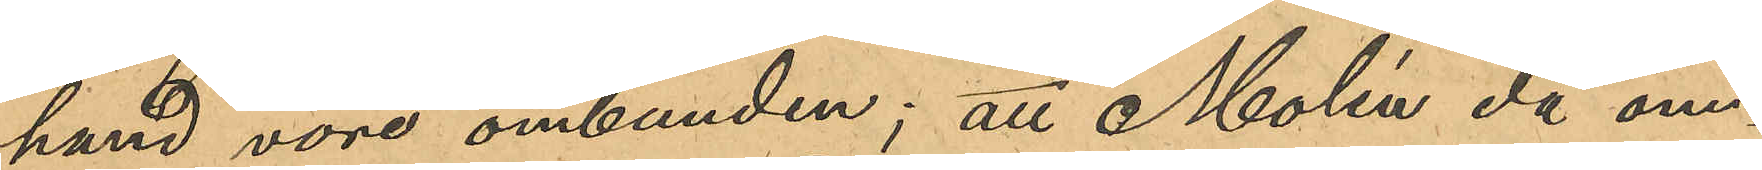hand vore ombunden; att Molén då om¬
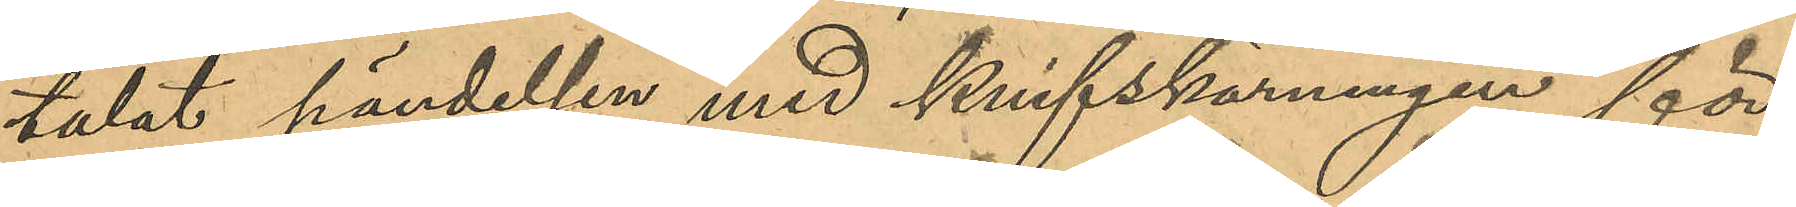talat händelsen med knifskärningen för
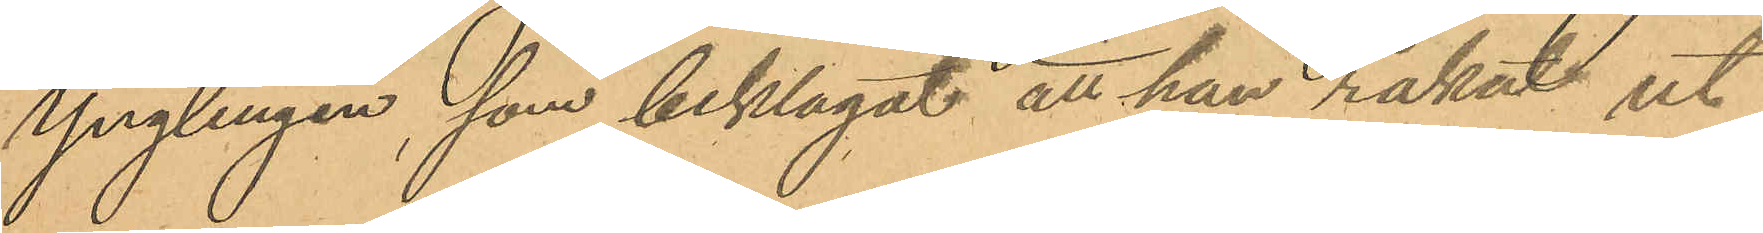Ynglingen, som beklagat att han råkat ut
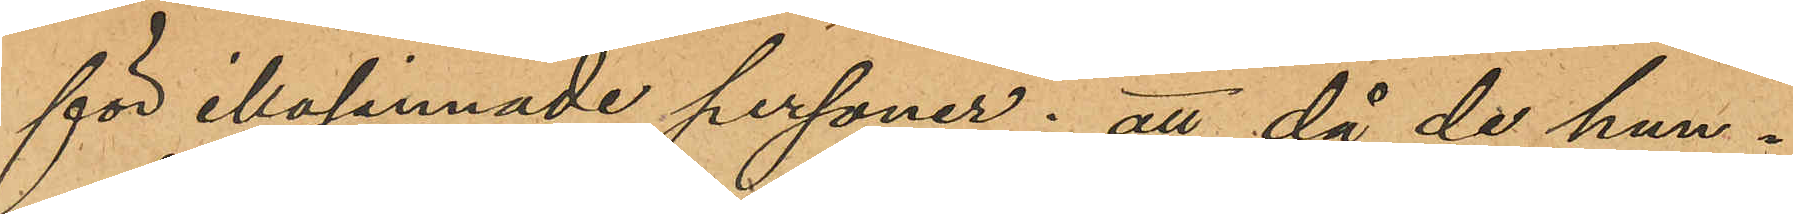för illasinnade personer; att då de hun¬
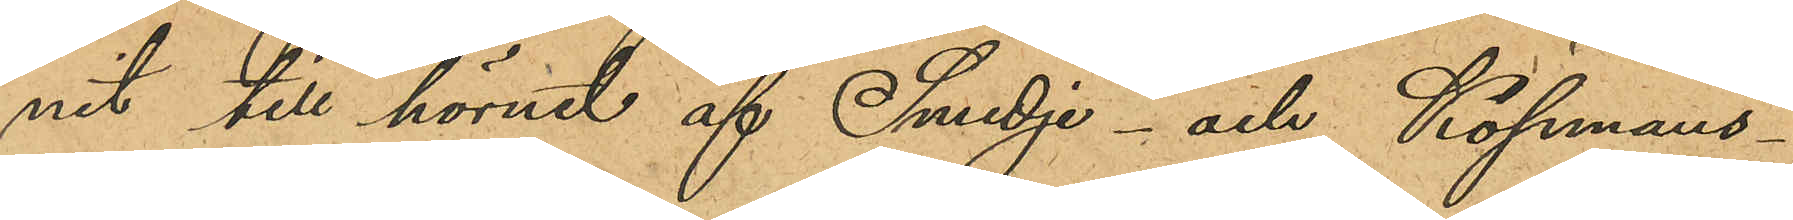nit till hörnet af Smedje- och Köpmans¬
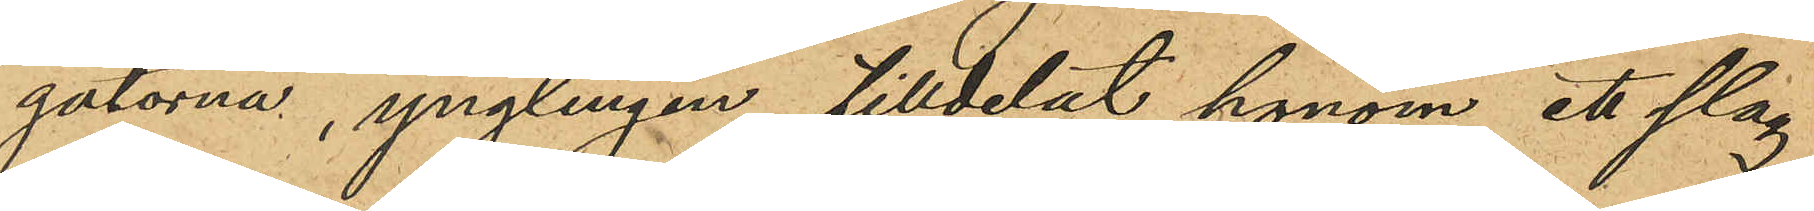gatorna, ynglingen tilldelat honom ett slag
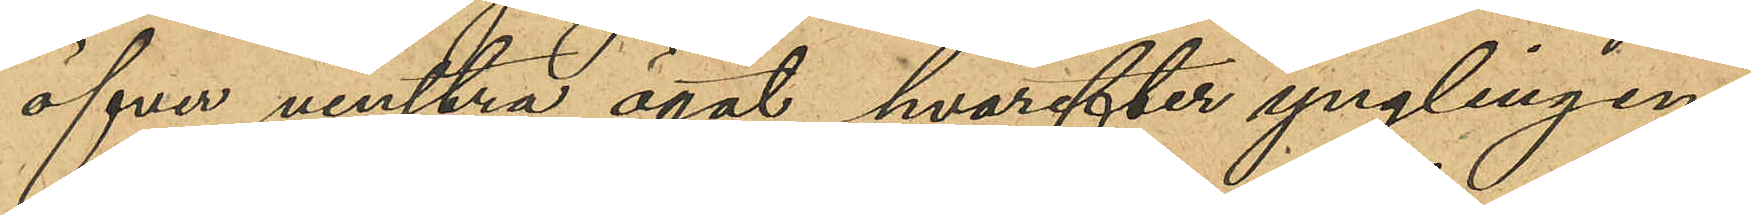öfver venstra ögat, hvarefter ynglingen
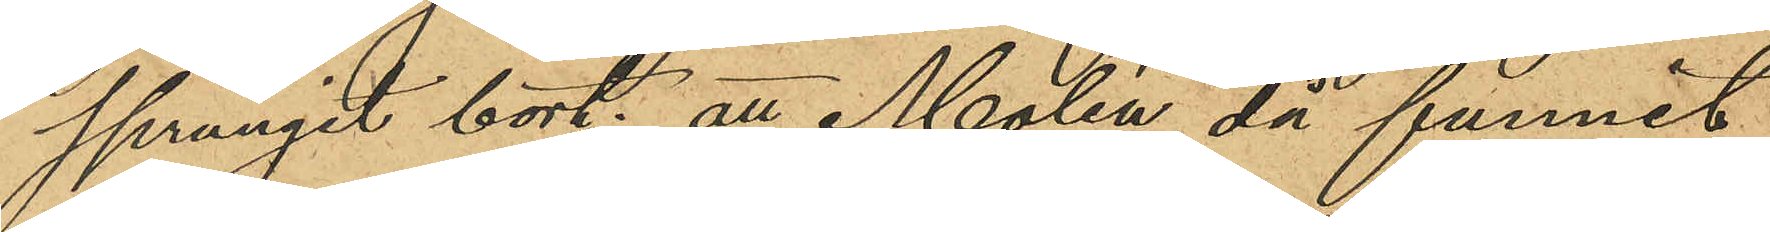sprungit bort; att Molén då funnit
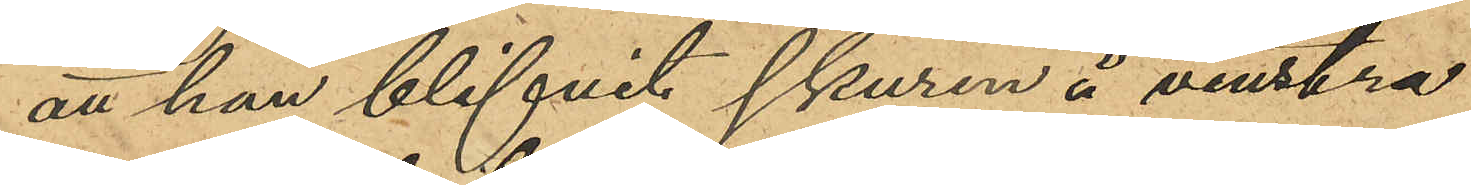att han blifvit skuren å venstra
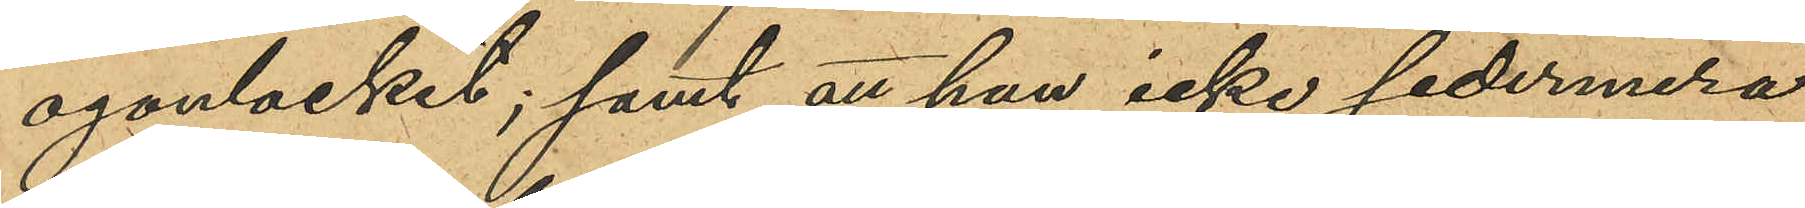ögonlocket; samt att han icke sedermera
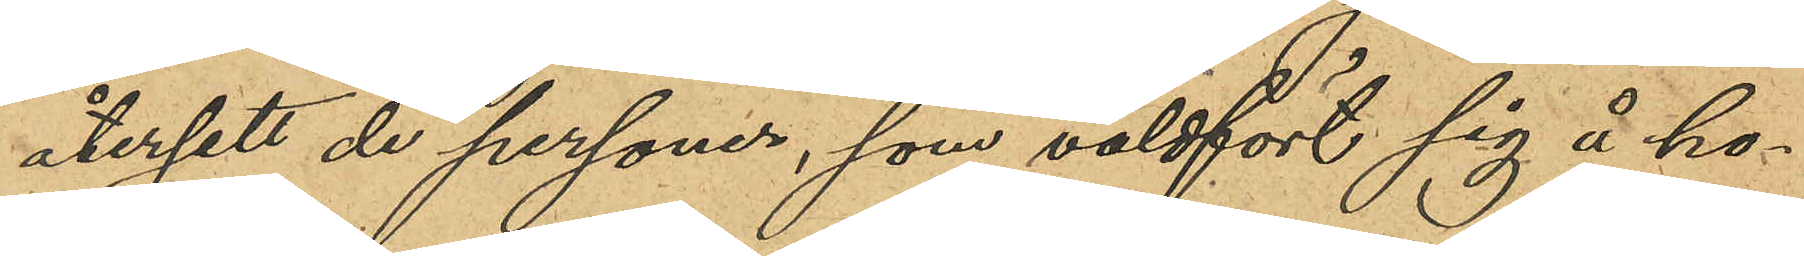återsett de personer, som våldfört sig å ho¬
